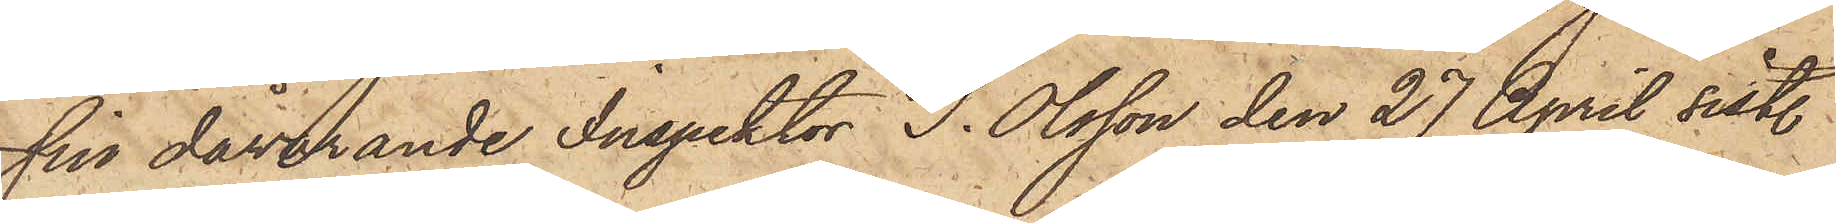sin dåvarande Inspektor J. Olsson den 27 April sist.
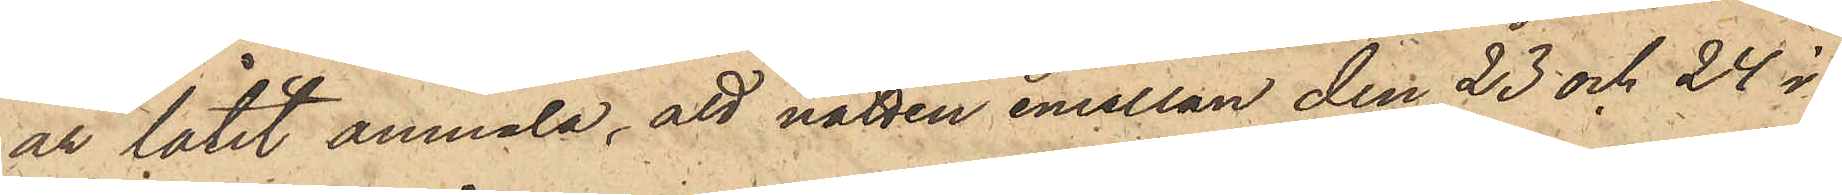år låtit anmäla, att natten emellan den 23 och 24 i
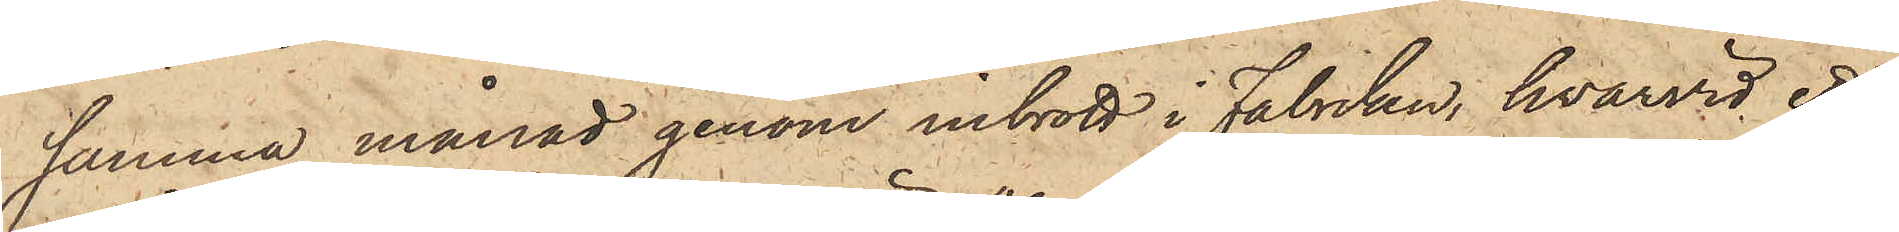samma månad genom inbrott i Fabriken, hvarvid ett
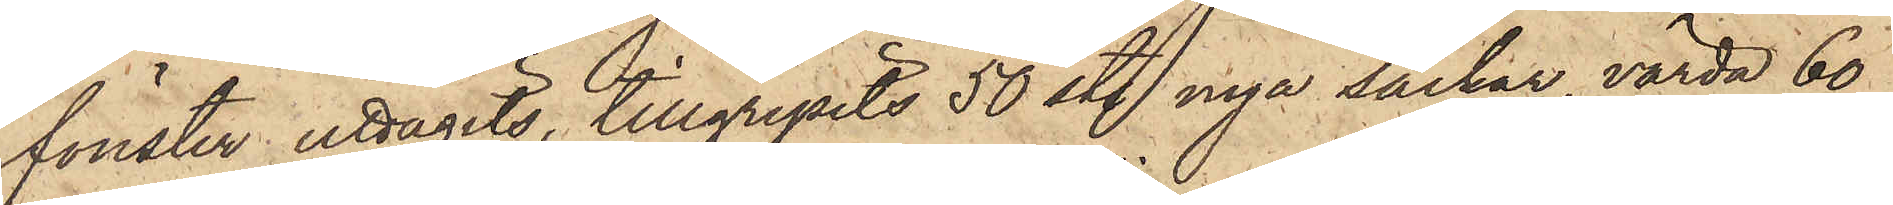fönster uttagits, tillgripits 50 sty. nya säckar, värda 60
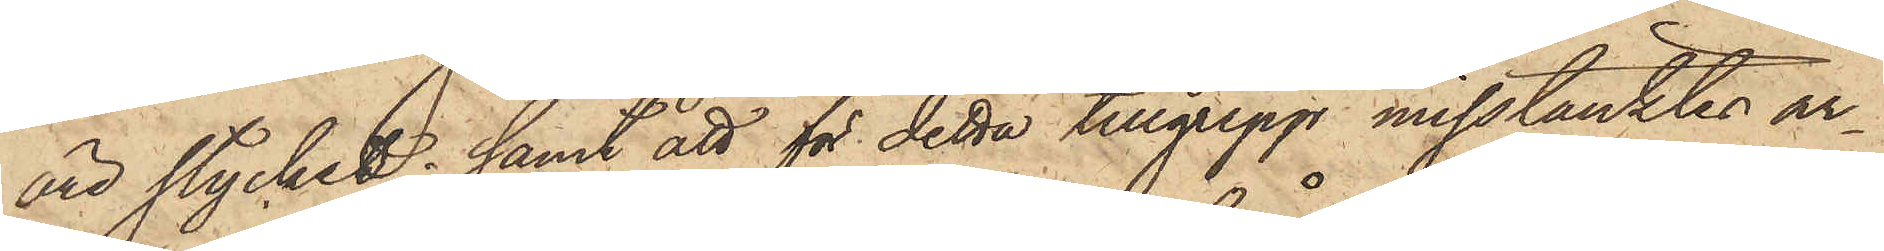öre stycket; samt att för detta tillgrepp misstänktes ar¬
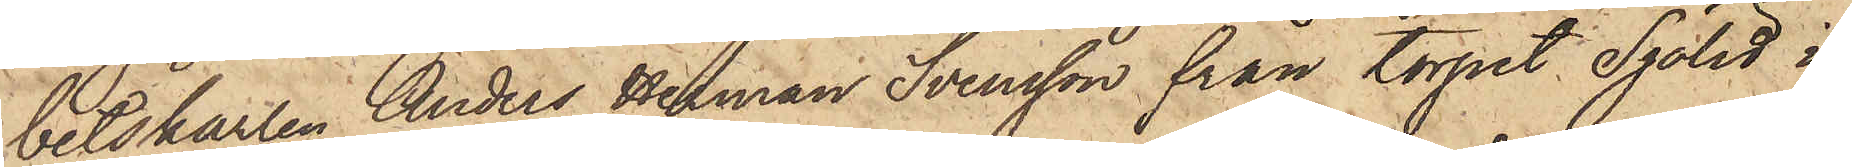betskarlen Anders Herman Svensson från torpet Sjölet i
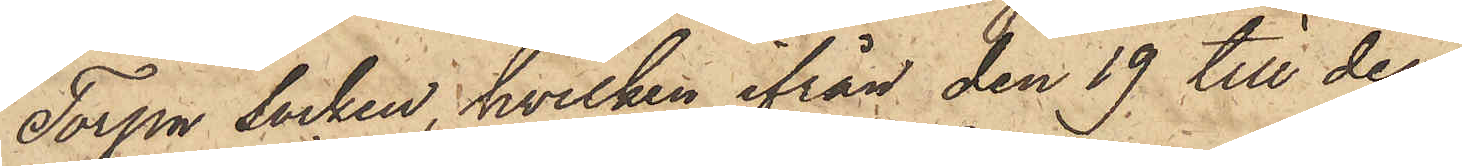Torpa socken, hvilken ifrån den 19 till den
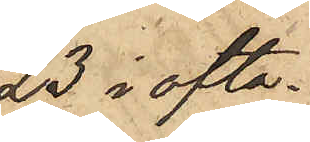23 i ofta¬
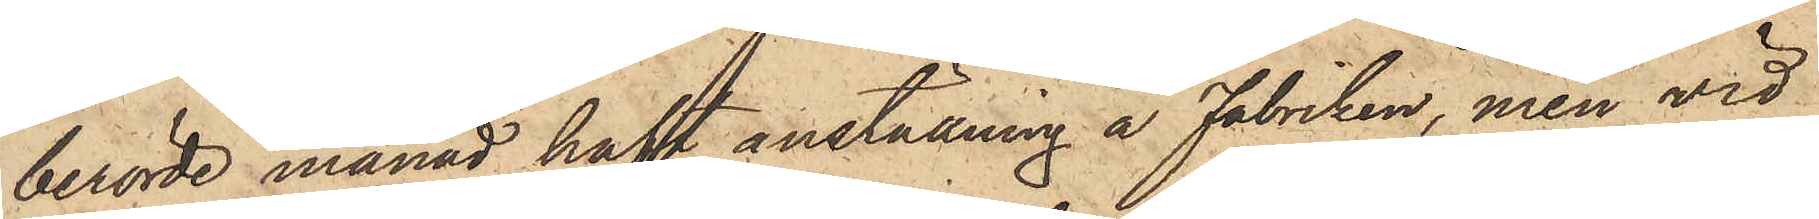berörde månad haft anställning å Fabriken, men vid
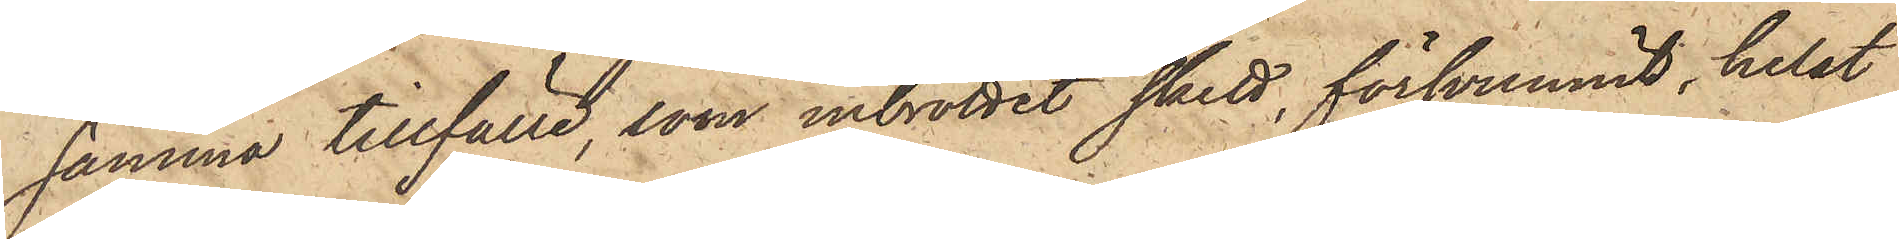samma tillfälle, som inbrottet skett, försvunnit, helst
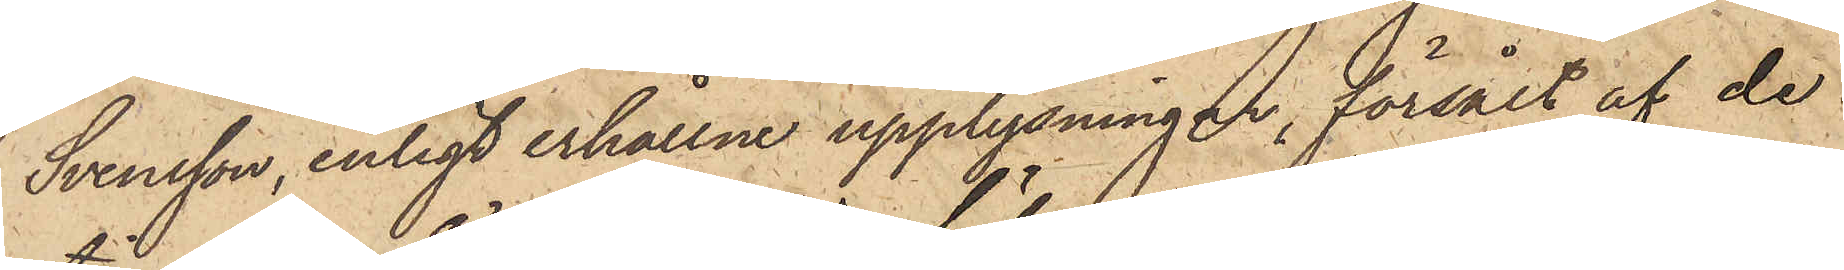Svensson, enligt erhållne upplysningar, försålt af de
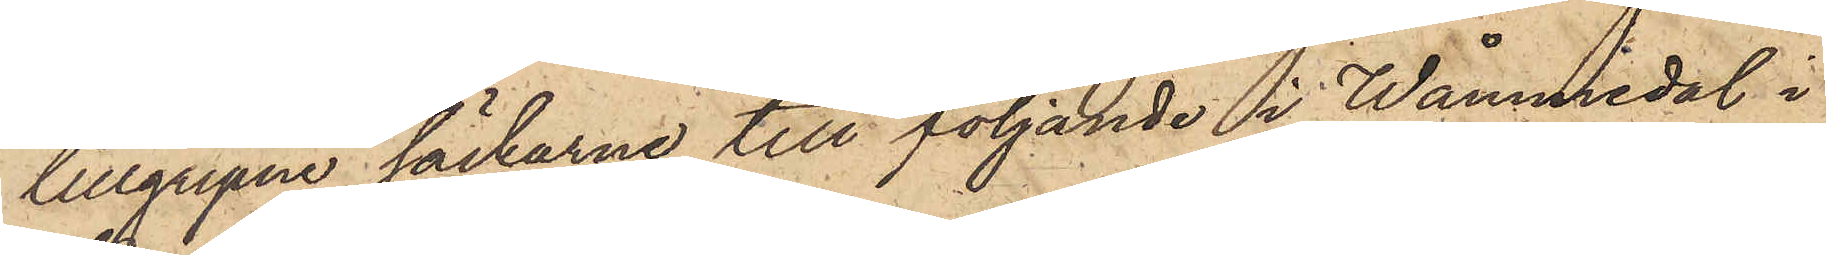tillgripne säckarne till följande i Wåmmedal i
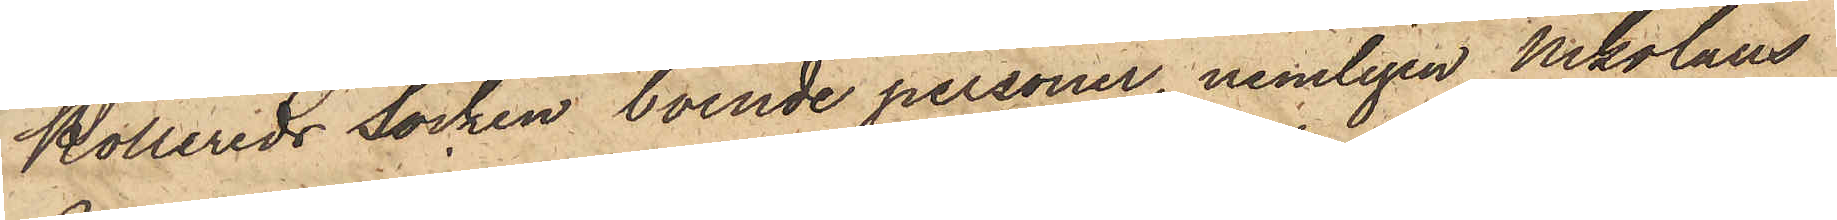Kollereds socken boende personer, nemligen Nikolaus
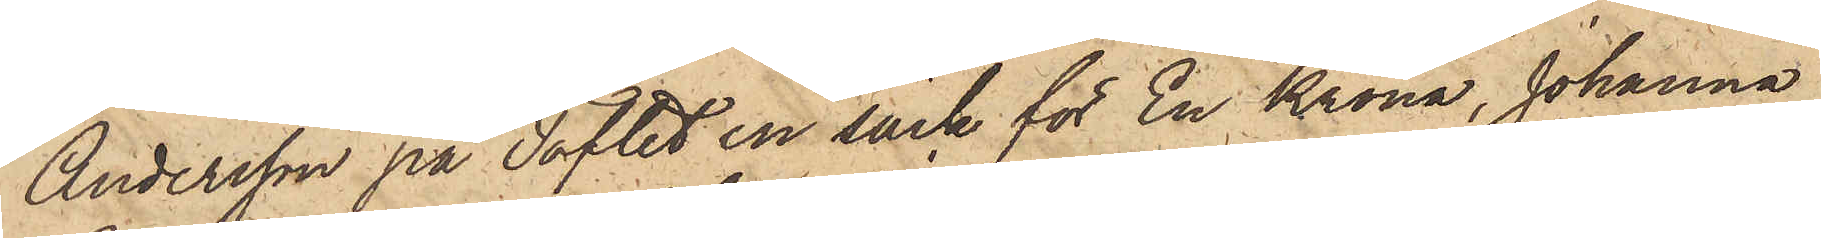Andersson på Toflet en säck för En Krona, Johanna
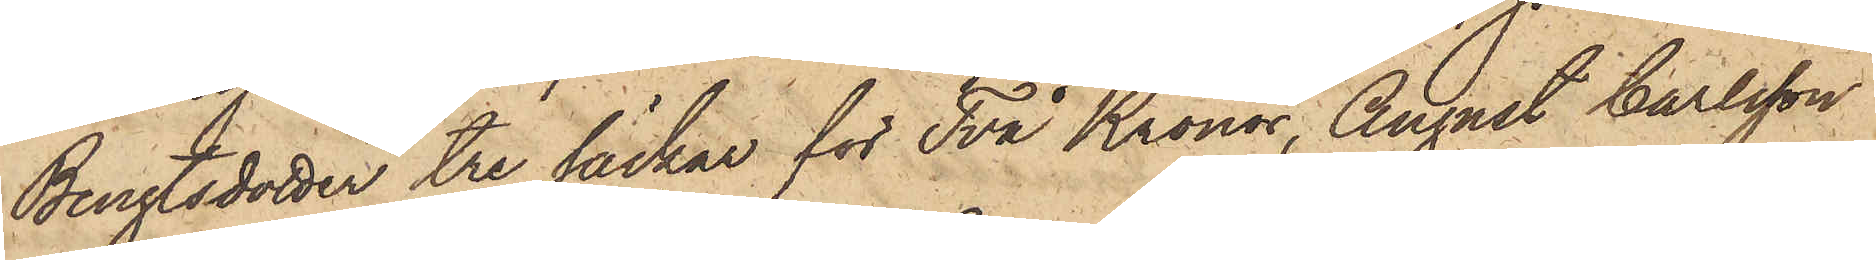Bengtsdotter tre säckar för Två Kronor, August Carlsson
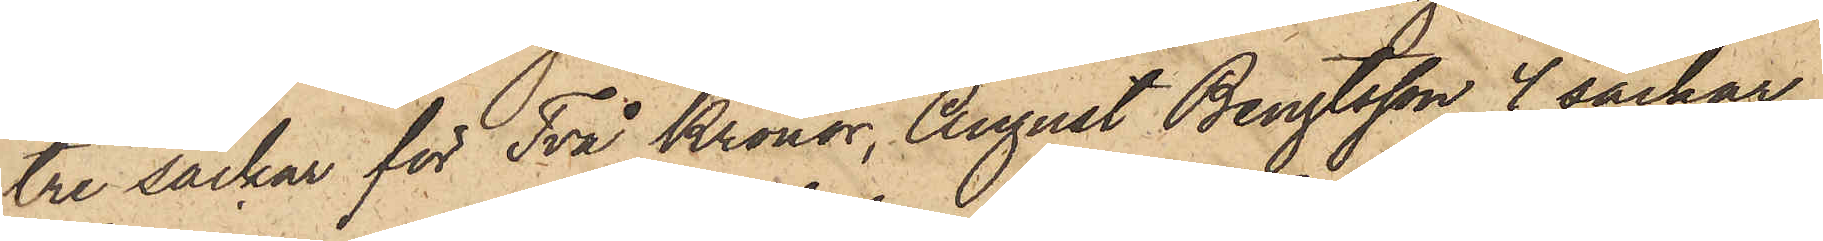tre säckar för Två Kronor, August Bengtsson 4 säckar
